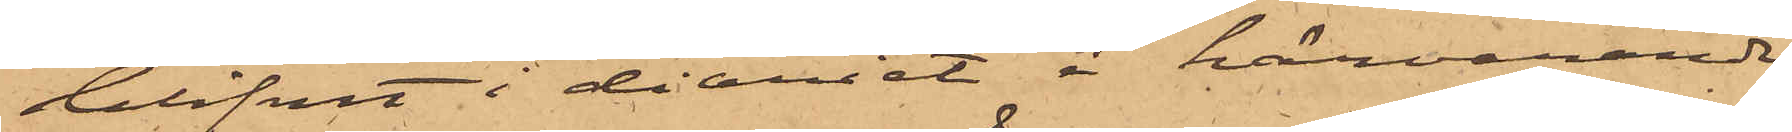blifvit i diariet i härvarande
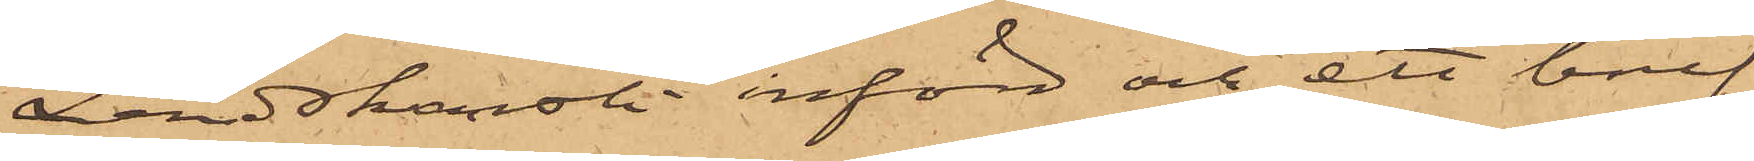Landskansli införd och ett bref
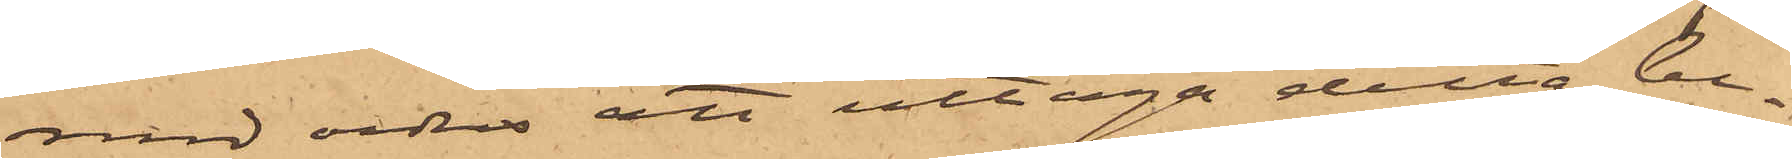med order att uttaga detta be¬
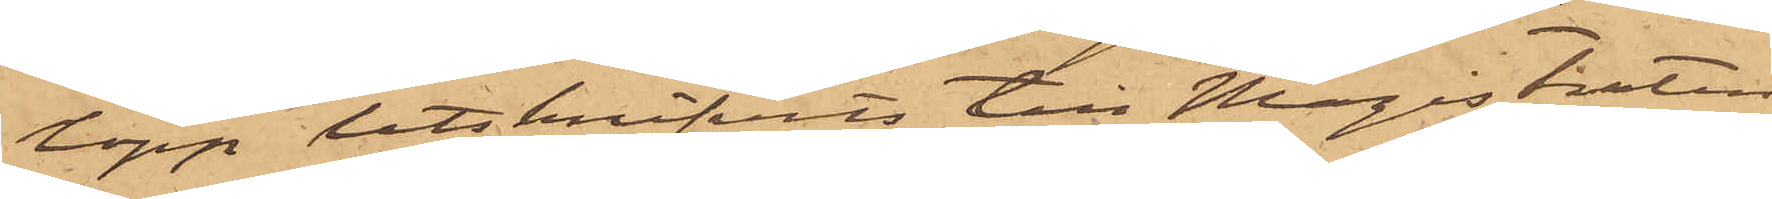lopp utskrifvits till Magistraten
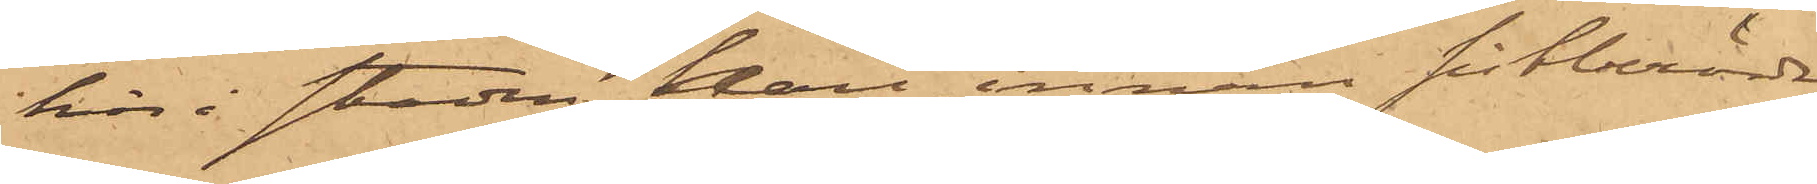här i staden, skall, innan sistberörde
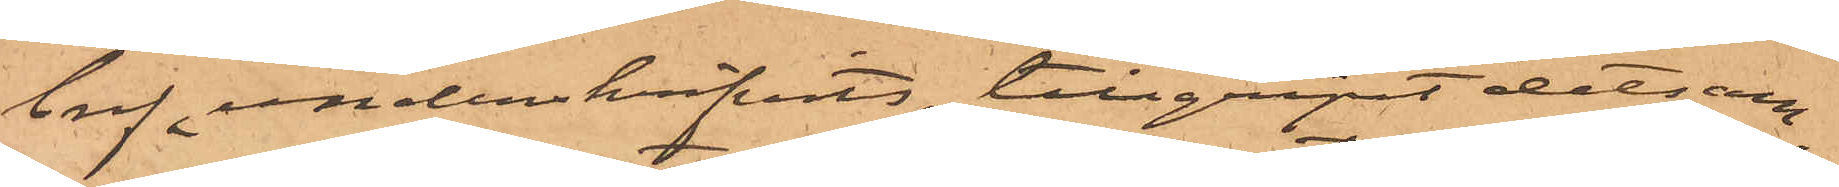bref underskrifvits, tillgripit detsam¬
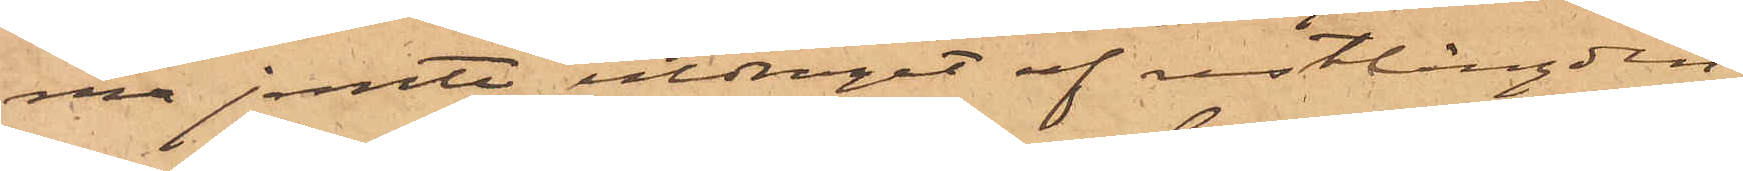ma jemte utdraget af restlängden,
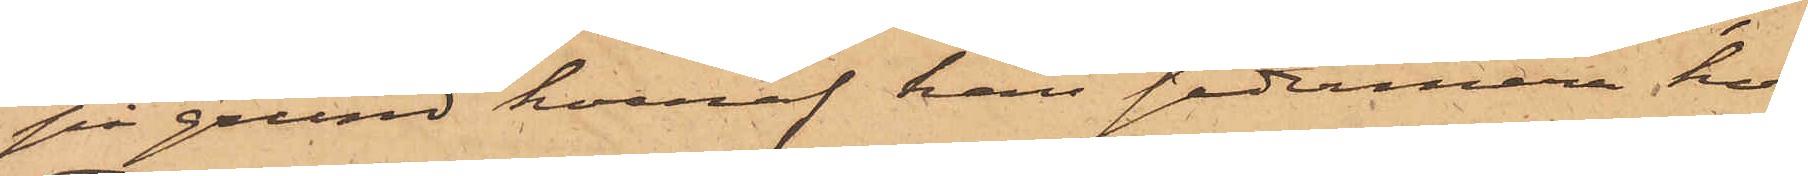på grund hvaraf han sedermera hos
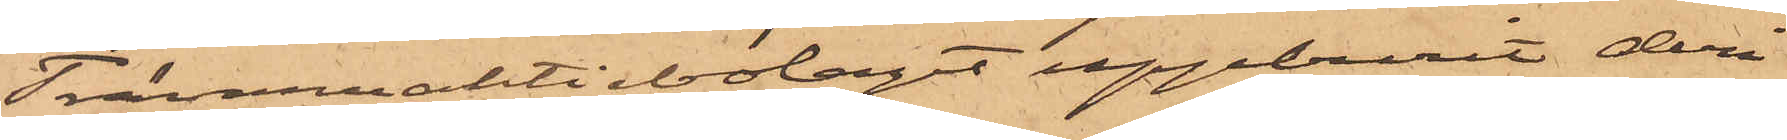Trävarumaktiebolaget uppburit deri
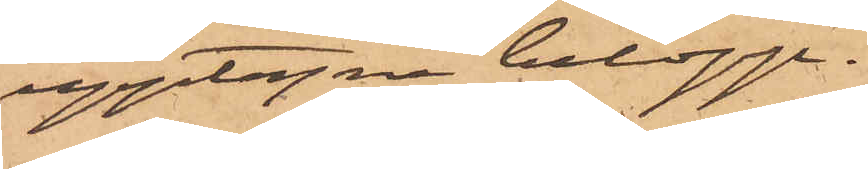upptagna belopp.
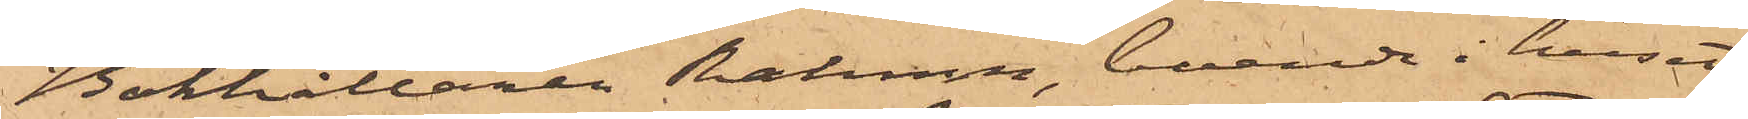Bokhållaren Hedman, boende i huset
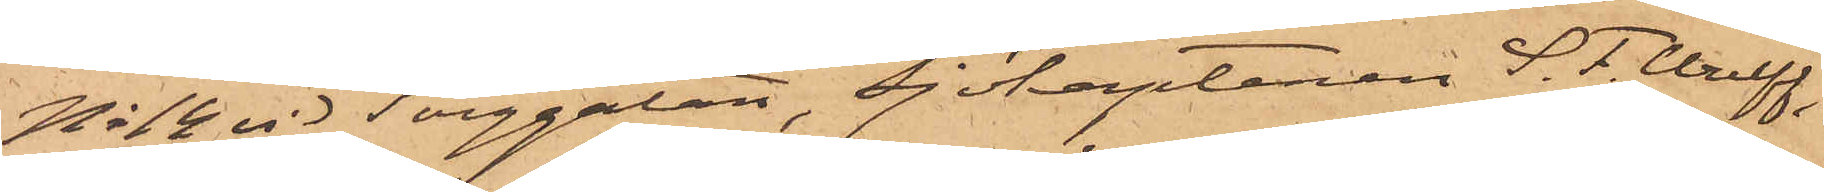No 48 vid Torggatan, Sjökaptenen S. F. Wulff
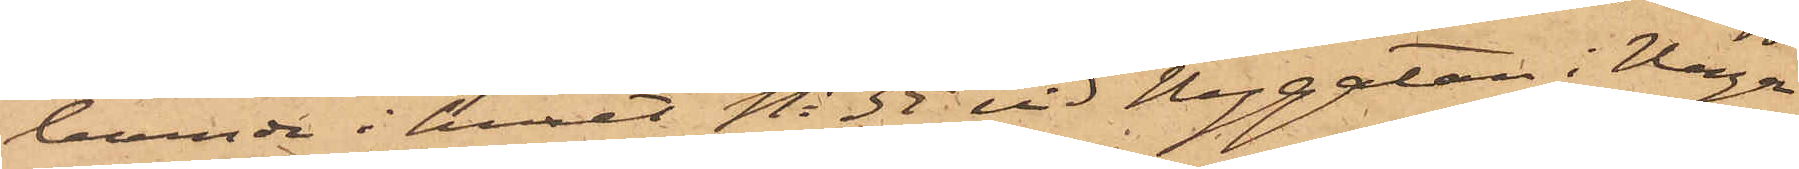boende i huset No 35 vid Nygatan i Haga
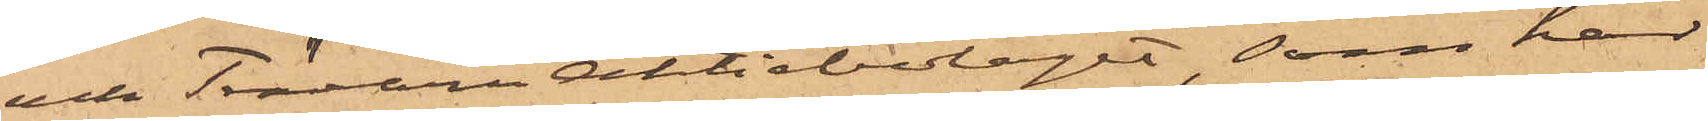och Trävaruaktiebolaget som har
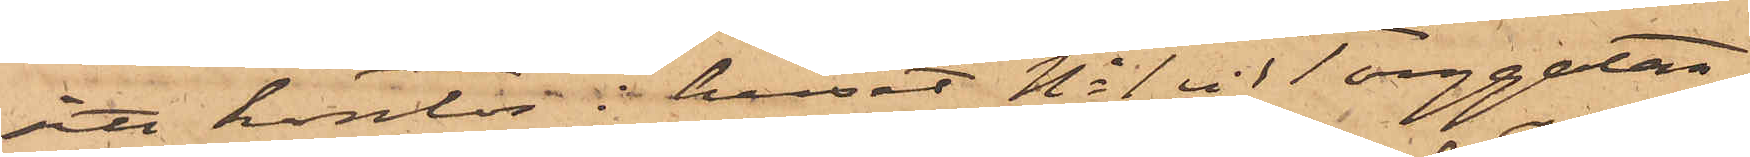sitt kontor i huset No 1 vid Torggatan,
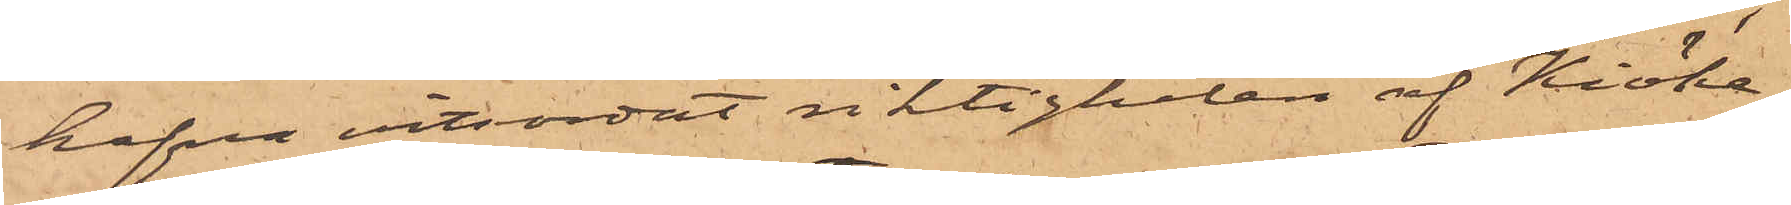hafva vitsordat riktigheten af Kiöke¬
